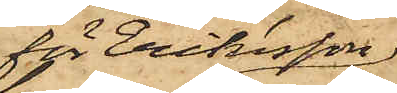för Eriksson
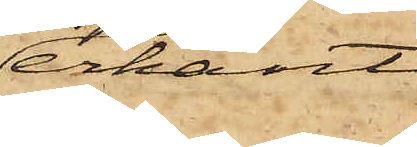erkänt
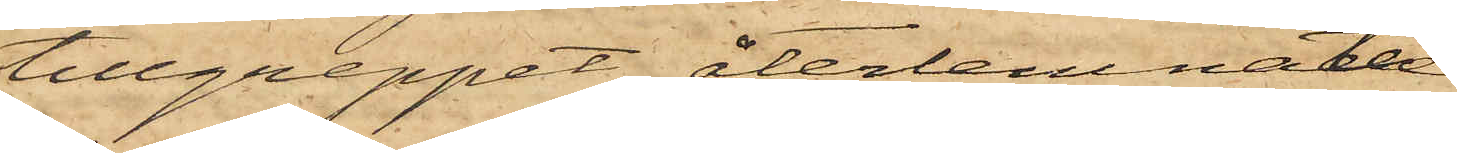tillgreppet, återlemnat
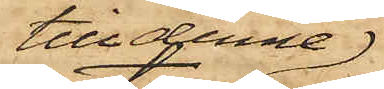till denne;
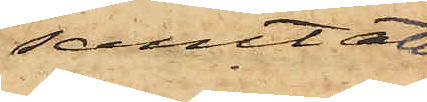samt att
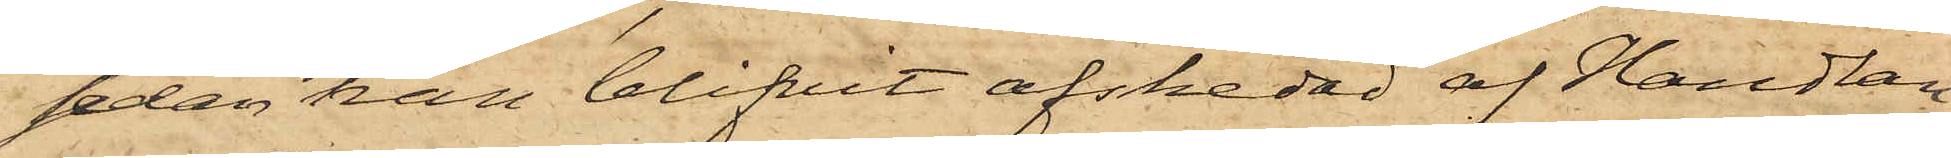sedan han blifvit afskedad af Handlan¬
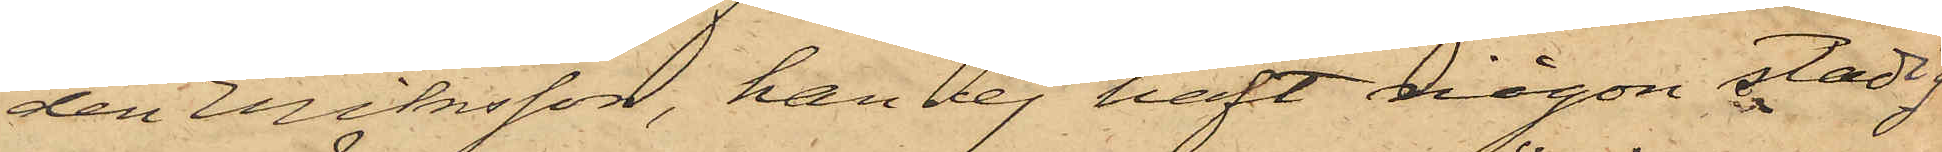den Eriksson, han ej haft någon stadig
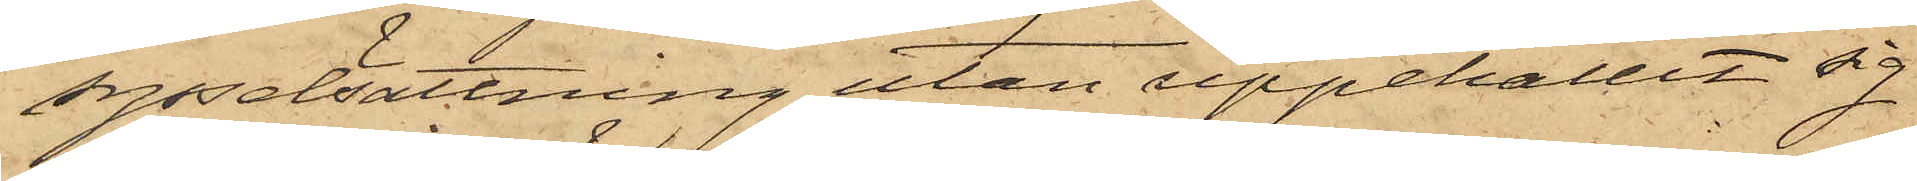sysselsättning utan uppehållit sig
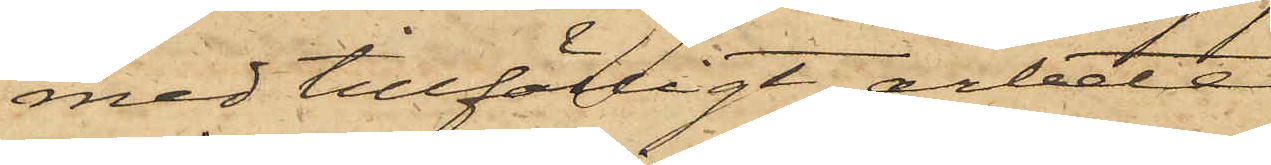med tillfälligt arbete.
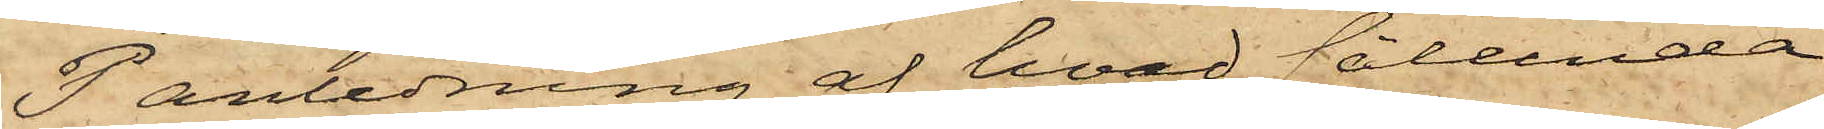I anledning af hvad sålunda
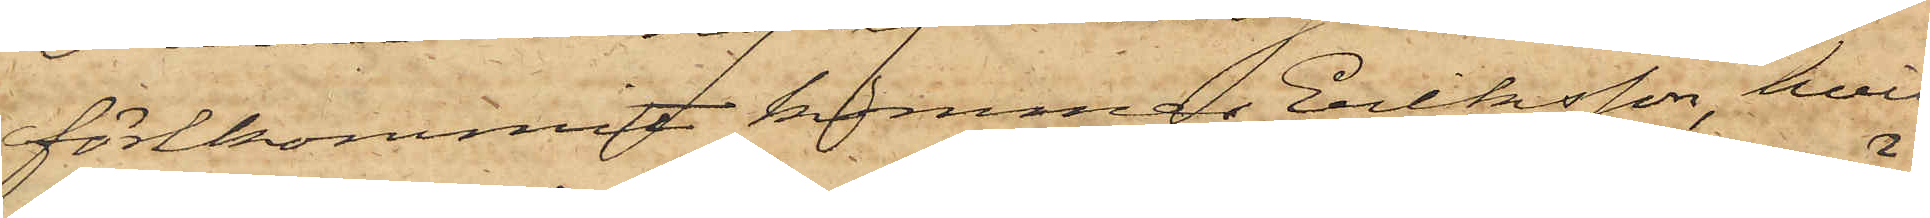förekommit kommer Eriksson, hvil¬
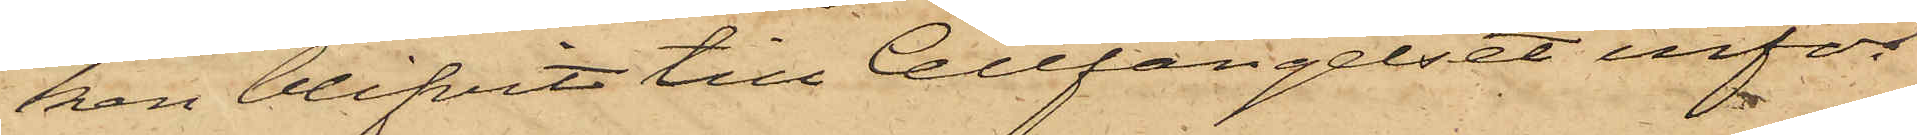ken blifvit till Cellfängelset inför¬
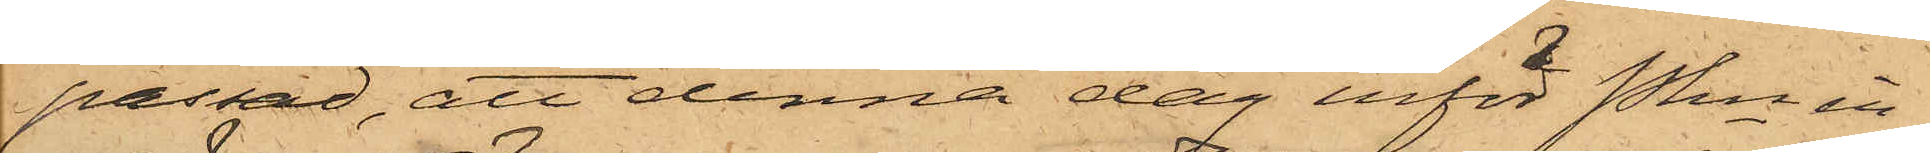passad, att denna dag inför Pkn in¬
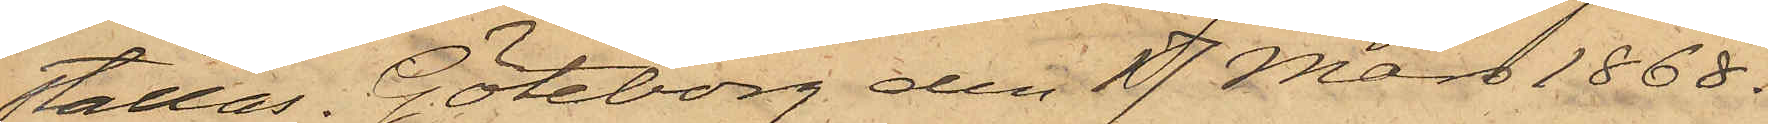ställas. Göteborg den 17 Mars 1868.
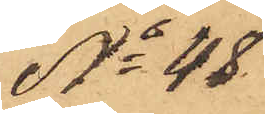No 48
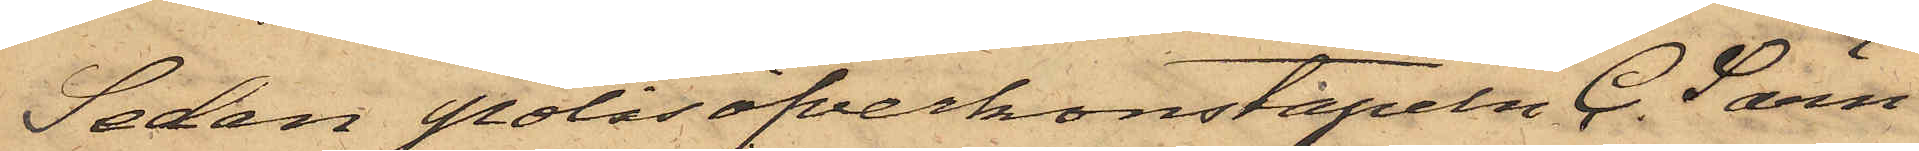Sedan Polisöfverkonstapeln C. Särn¬
